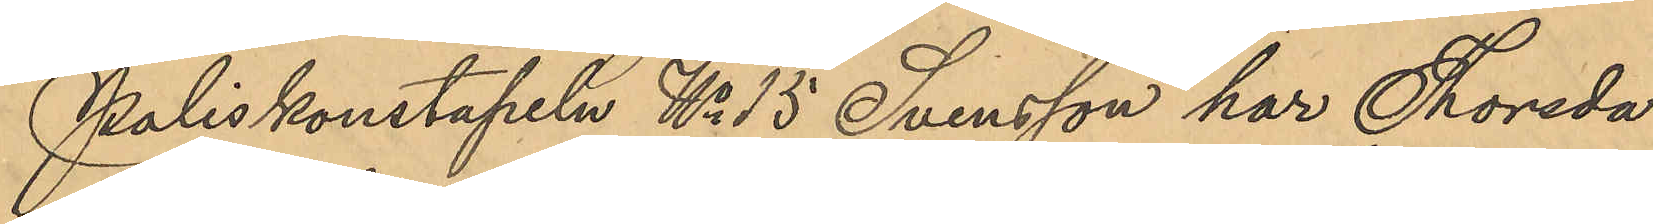Poliskonstapeln No 15 Svensson har Thorsda¬
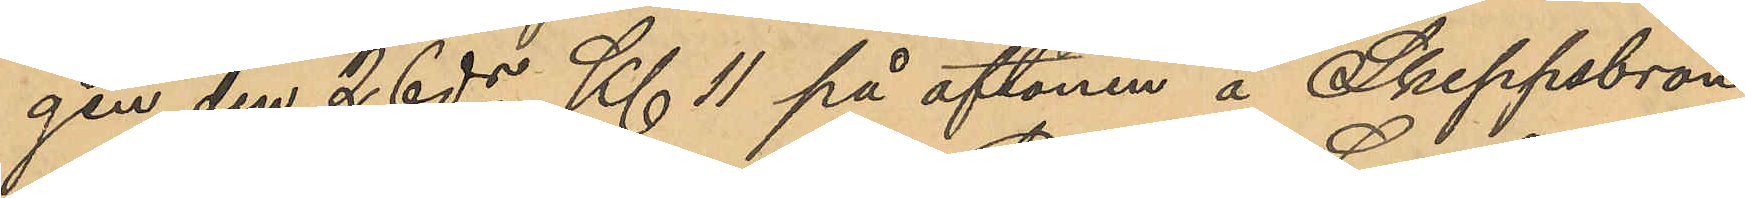gen den 26 ds Kl. 11 på aftonen å Skeppsbron
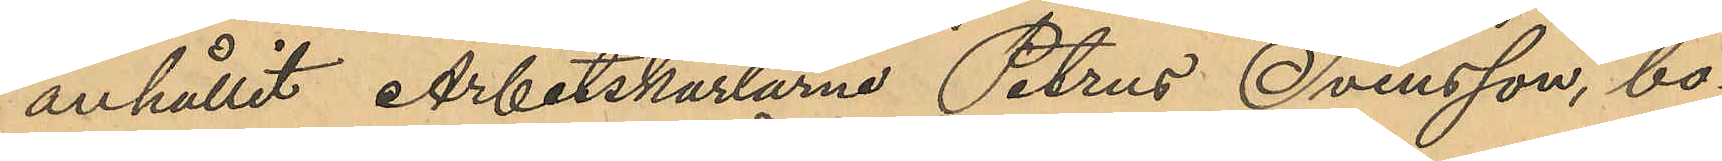anhållit Arbetskarlarne Petrus Svensson, bo¬
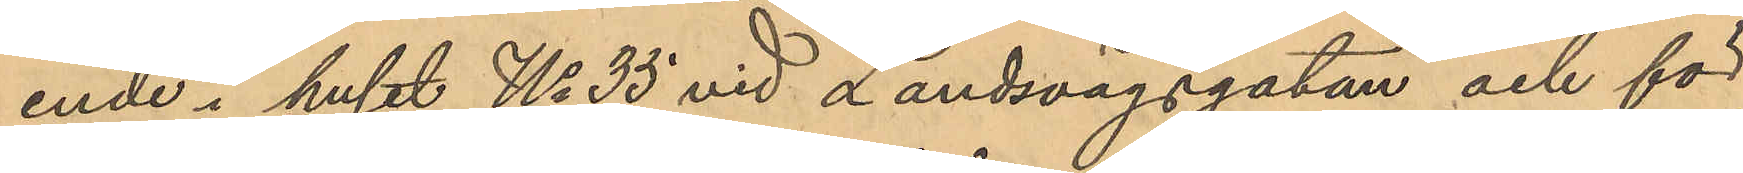ende i huset No 35 vid Landsvägsgatan och för
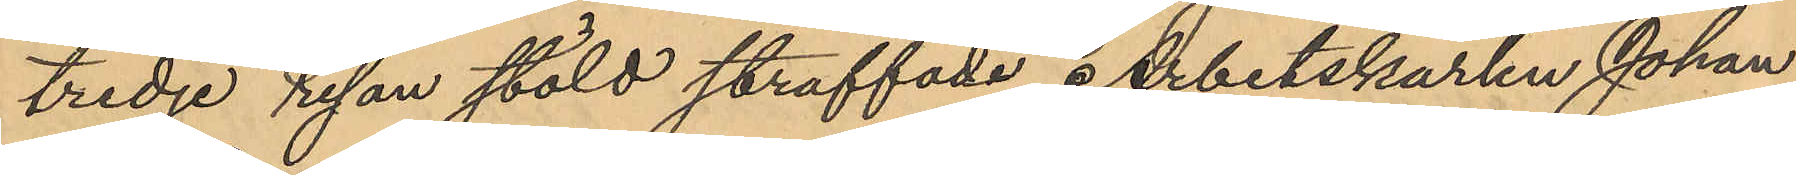tredje resan stöld straffade Arbetskarlen Johan
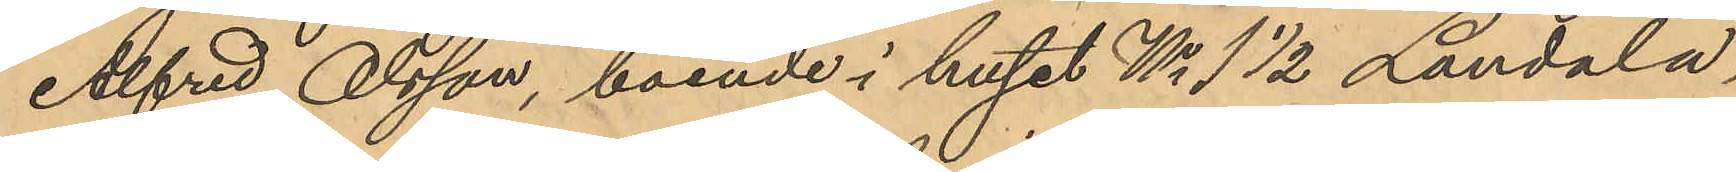Alfred Olsson, boende i huset No 1 1/2 Landala,
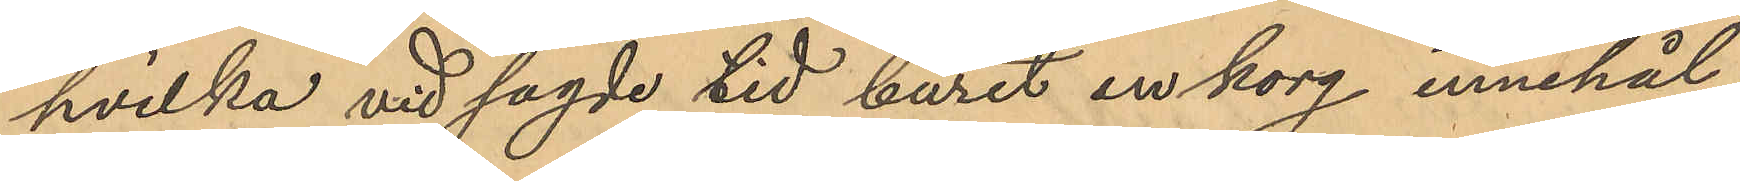hvilka vid sagde tid burit en korg innehål¬
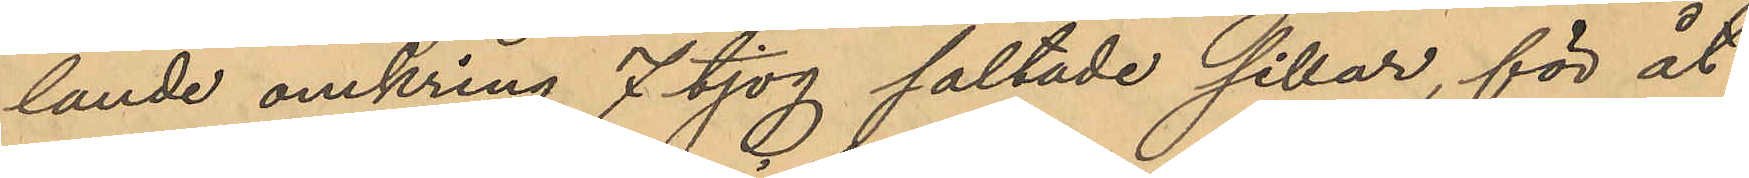lande omkring 7 tjog saltade sillar, för åt¬
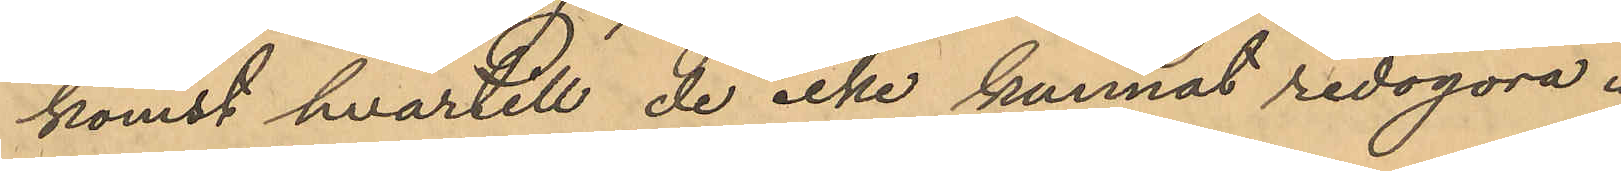komst hvartill de icke kunnat redogöra.
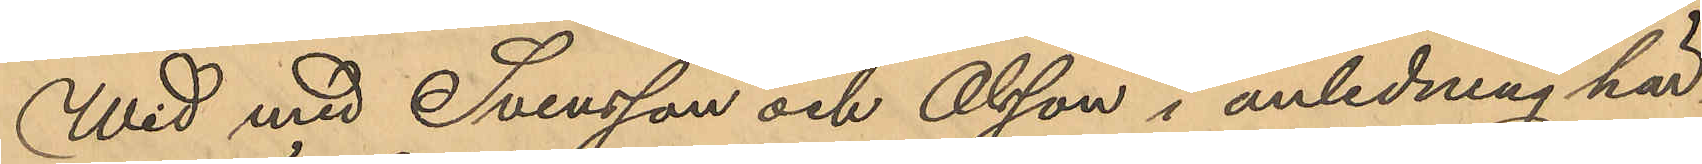Wid med Svensson och Olsson i anledning här¬
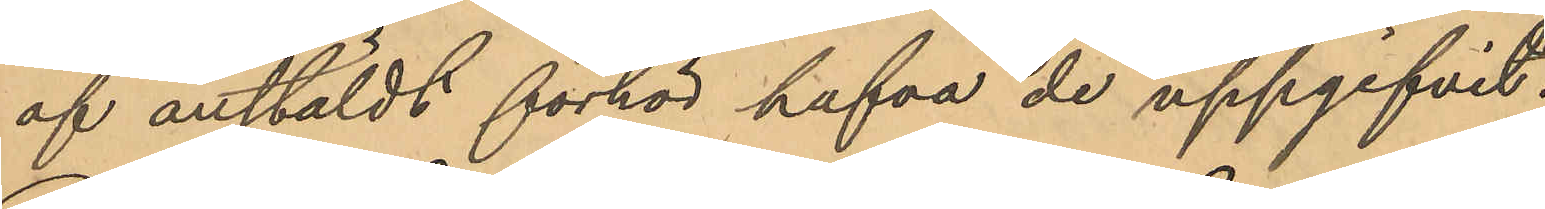af anstäldt förhör hafva de uppgifvit,
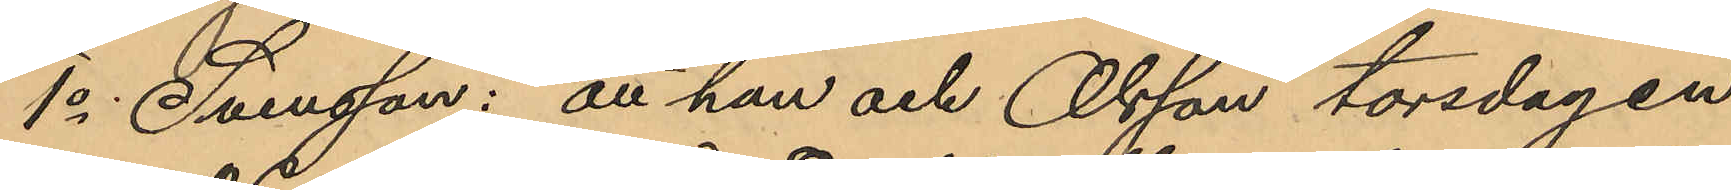1o Svensson: att han och Olsson torsdagen
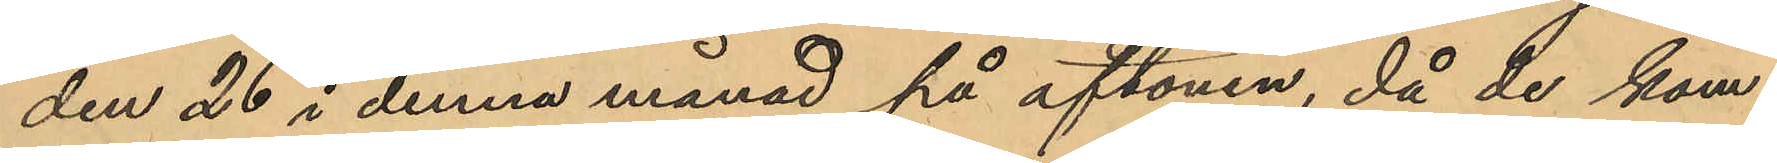den 26 i denna månad på aftonen, då de kom¬
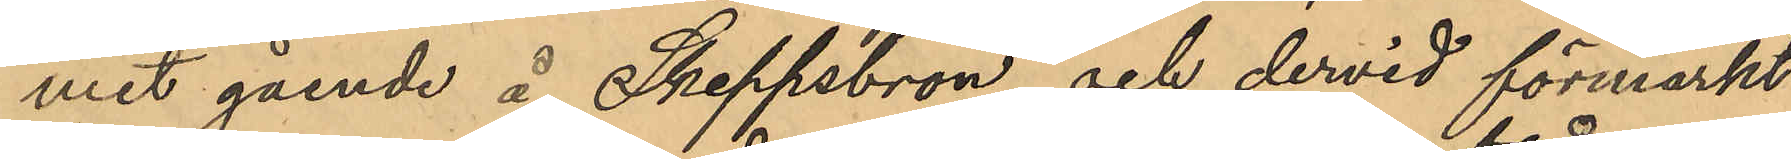mit gående å Skeppsbron och dervid förmärkt
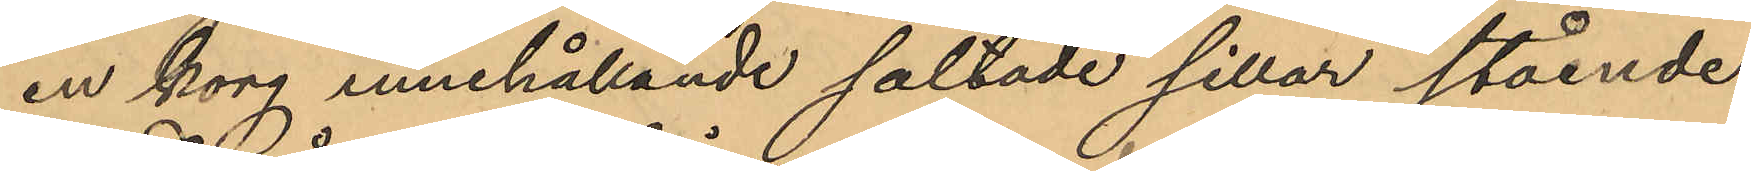en korg innehållande saltade sillar stående
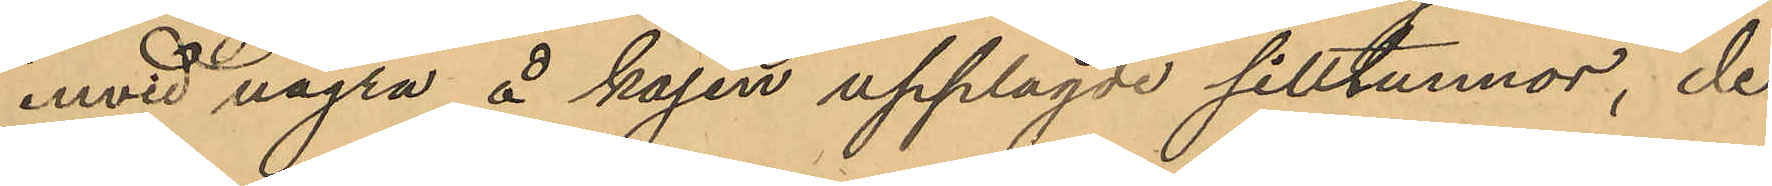invid några å kajen upplagde silltunnor, de
